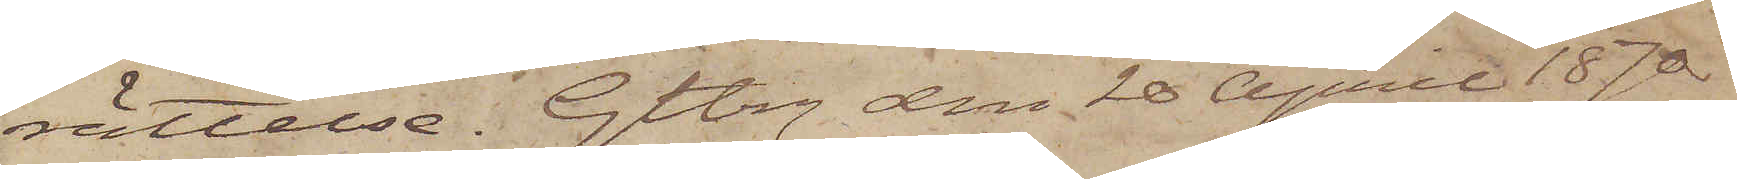rättelse. Gtbg den 20 April 1870.
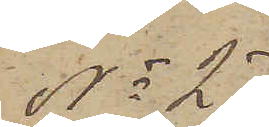No 27
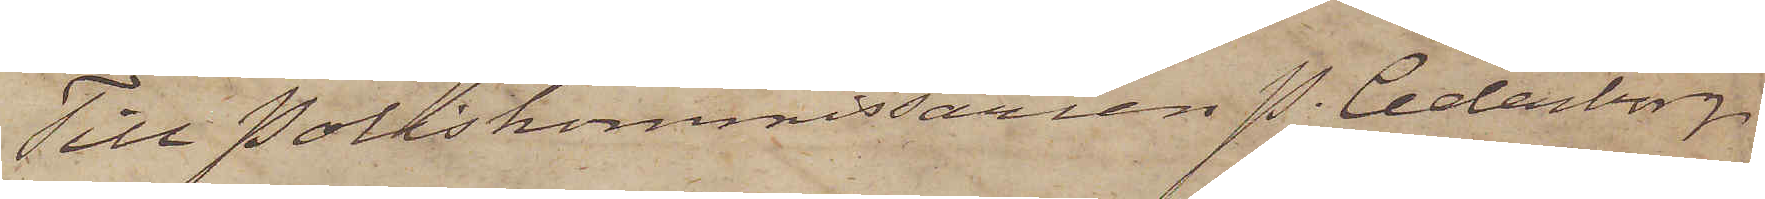Till Poliskommissarien P. Cederborg
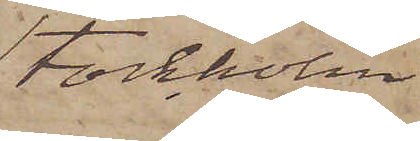Stockholm
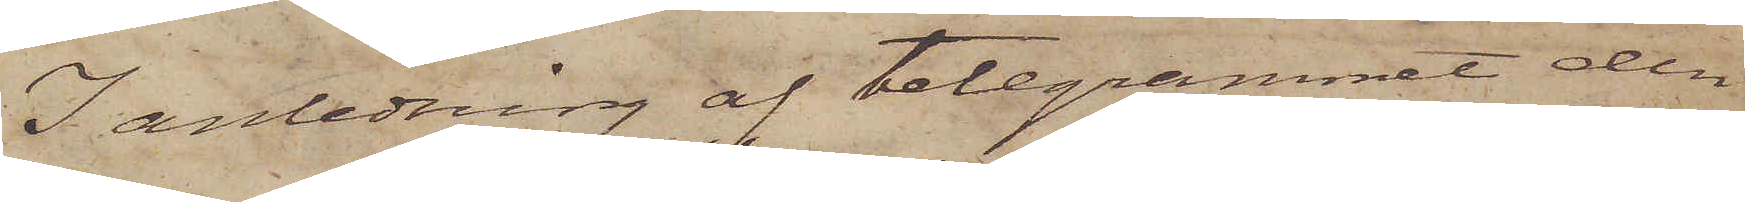I anledning af telegrammet den
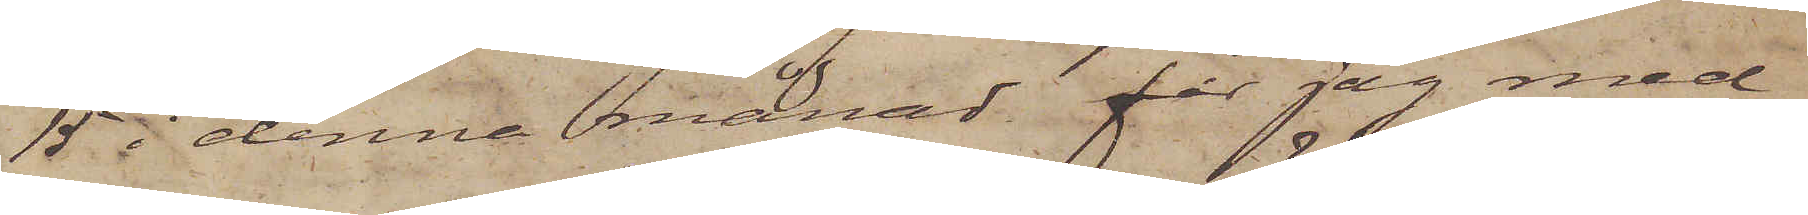15 i denna månad får jag med¬
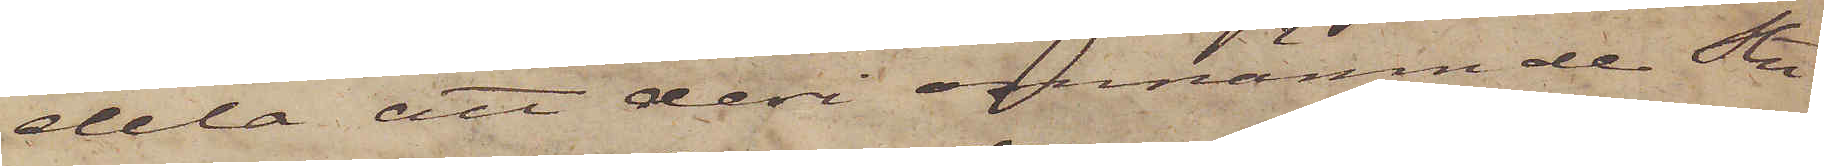dela att deri omnämnde Stu¬
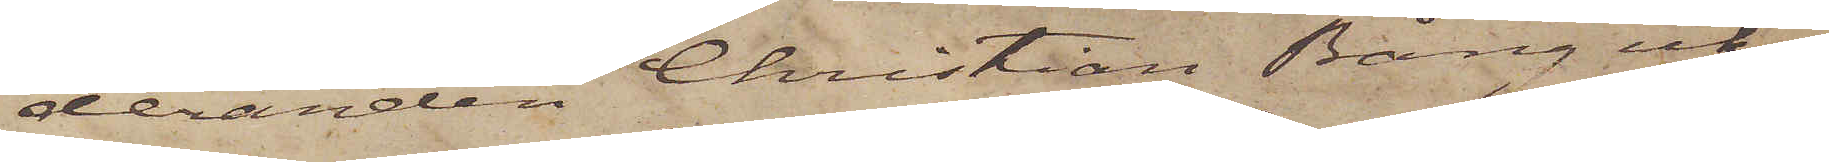deranden Christian Bång icke,
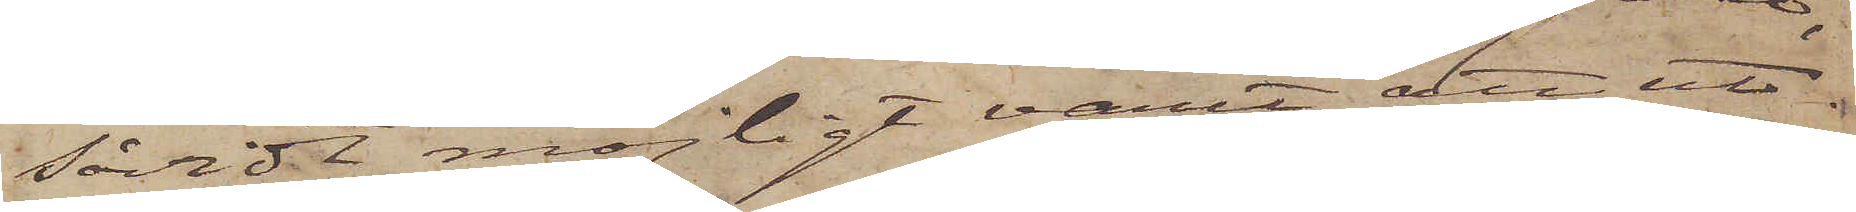såvidt möjligt varit att ut¬
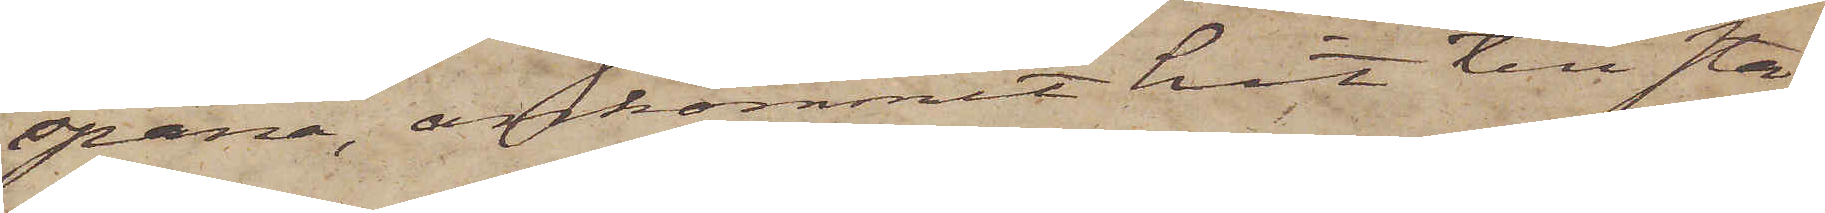spana, ankommit hit till sta¬
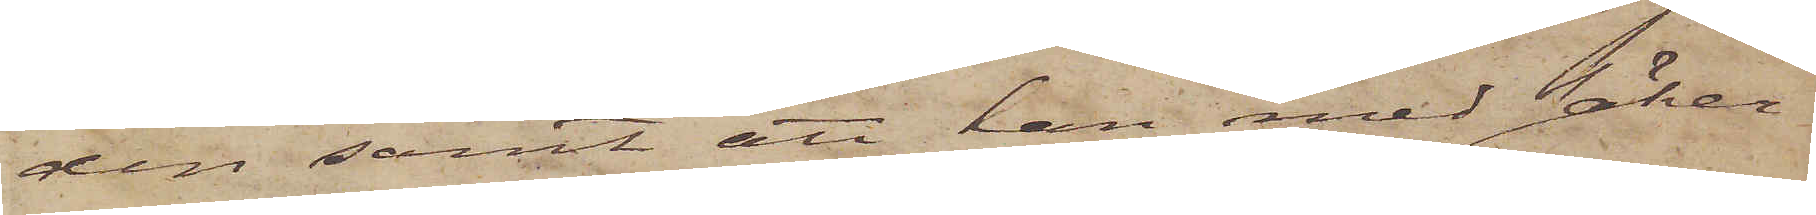den samt att han med säker¬
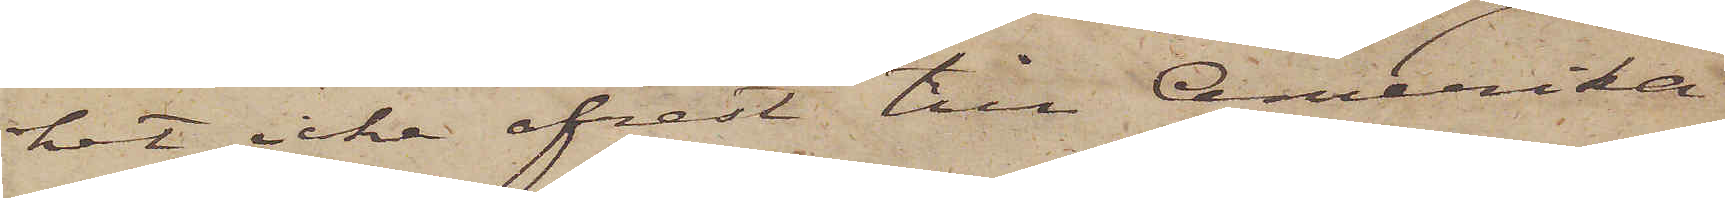het icke afrest till Amerika
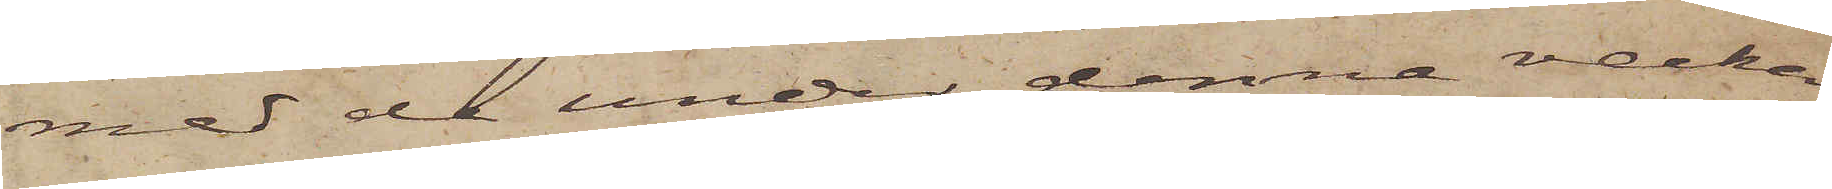med de under denne vecka
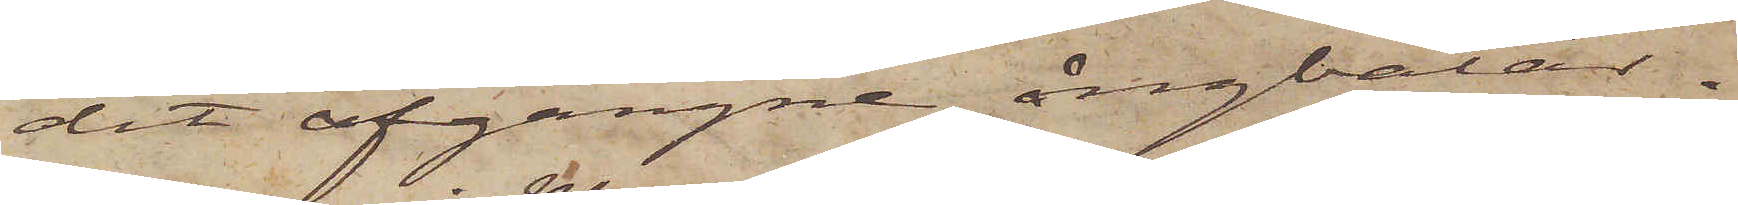dit afgångne ångbåtar.
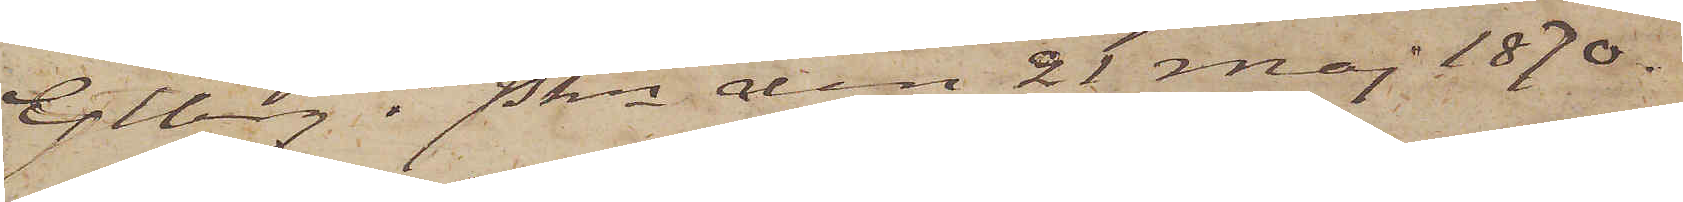Gtbrg i Pkn den 21 Maj 1870.
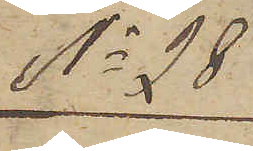No 28
